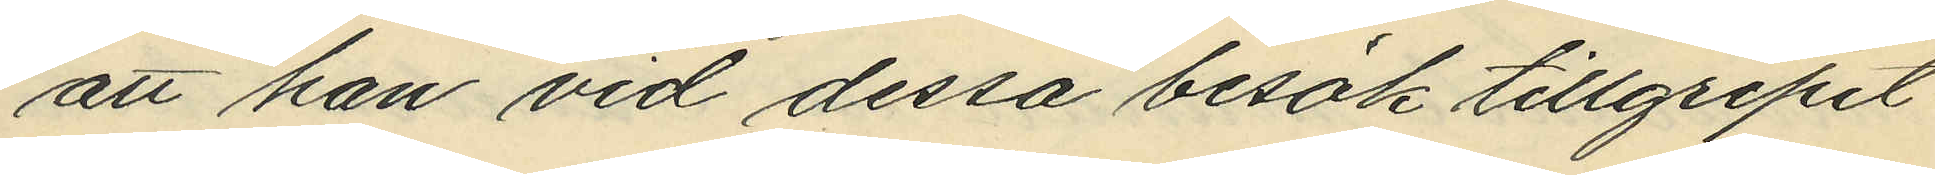att han vid dessa besök tillgripit
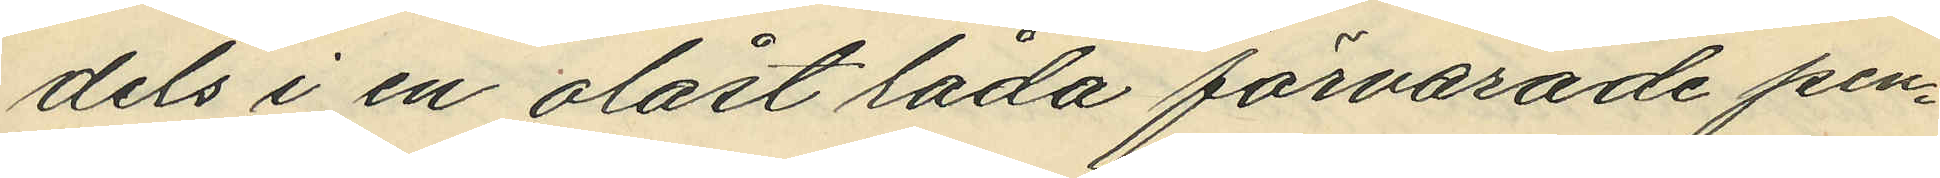dels i en olåst låda förvarade pen¬
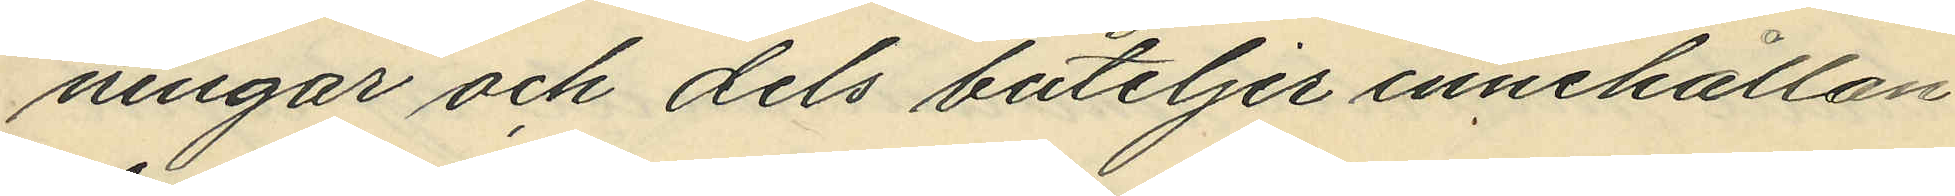ningar och dels buteljer innehållan¬
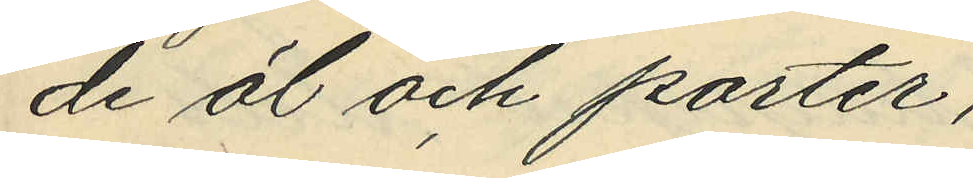de öl och porter,
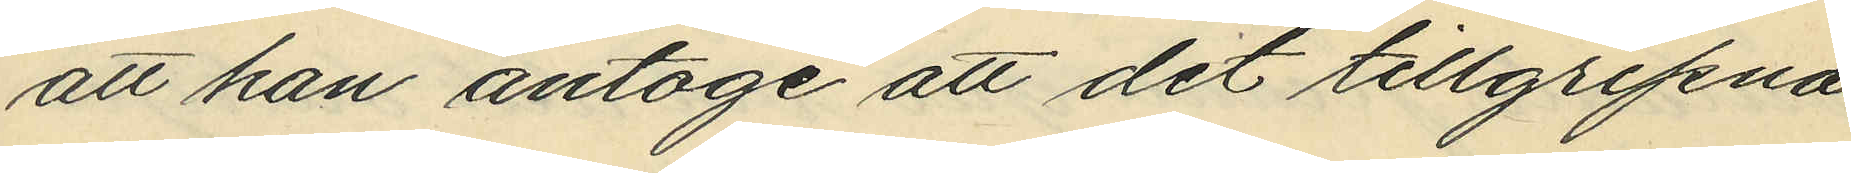att han antoge att det tillgripna
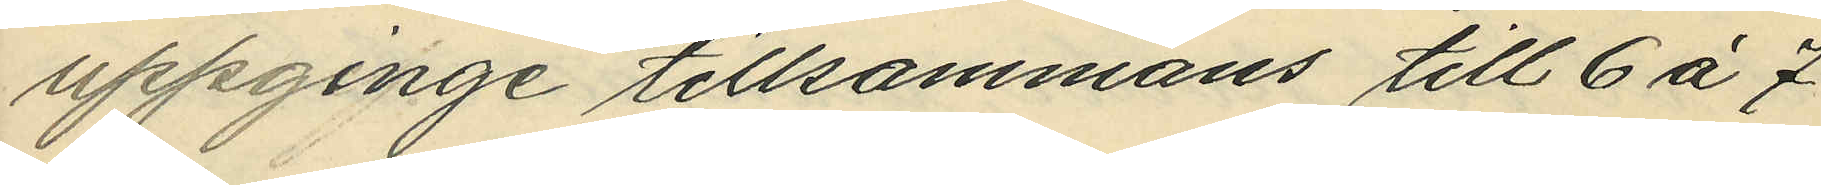uppginge tillsammans till 6 å 7
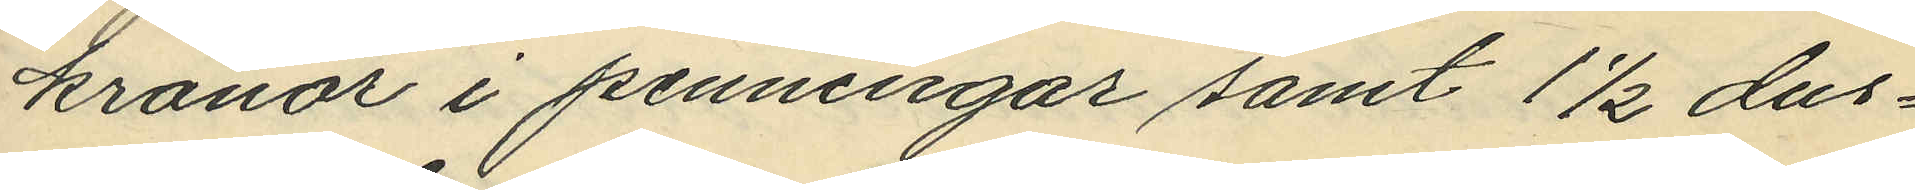kronor i penningar samt 1 1/2 dus¬
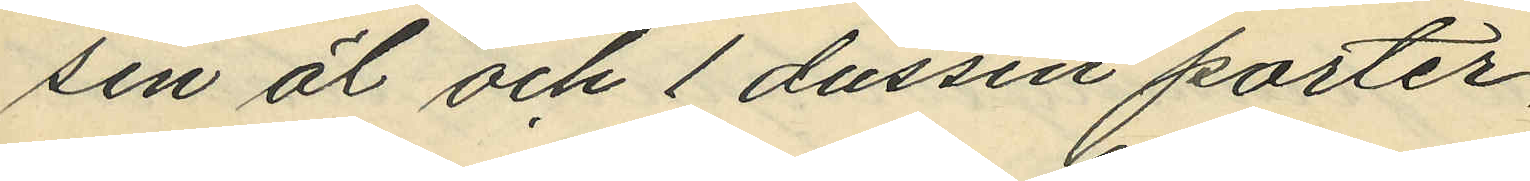sin öl och 1 dussin porter,
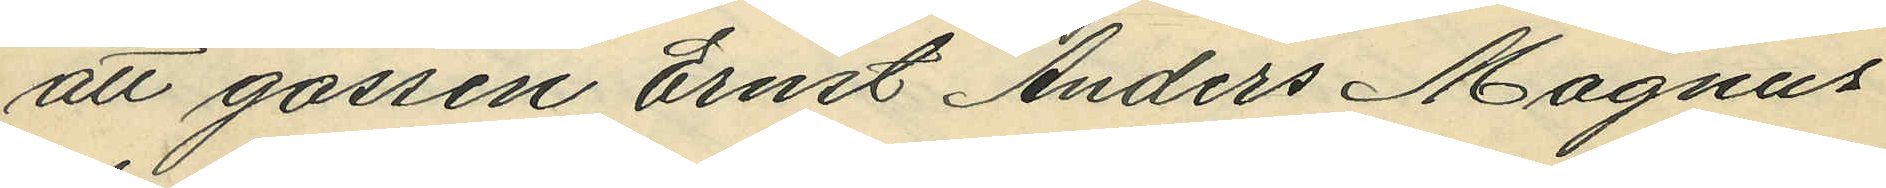att gossen Ernst Anders Magnus
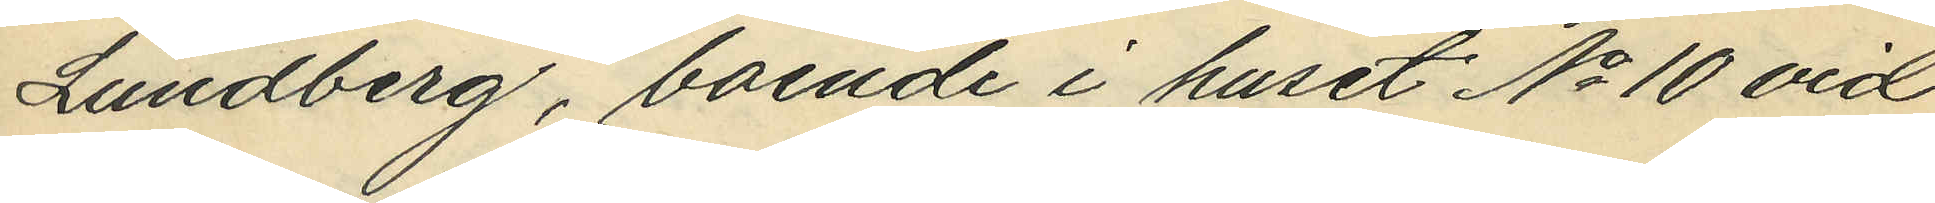Lundberg, boende i huset No 10 vid
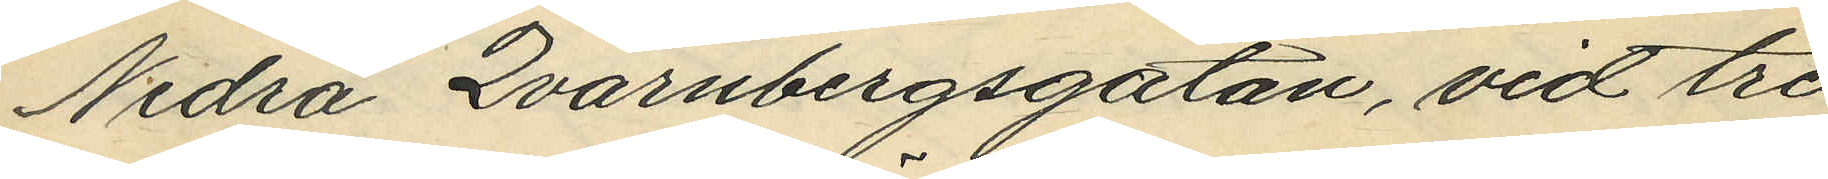Nedra Qvarnbergsgatan, vid tre
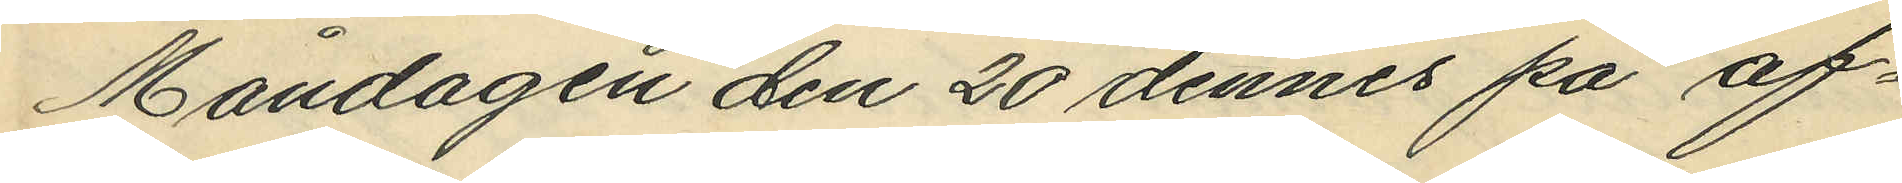Måndagen den 20 dennes på af¬
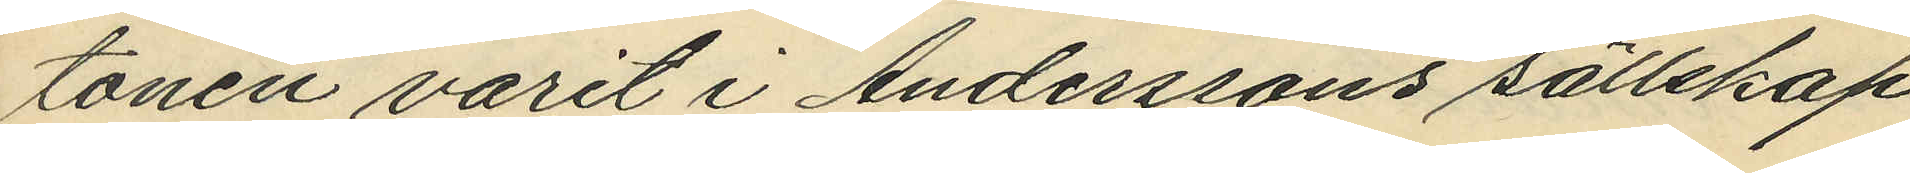tonen varit i Anderssons sälkekap
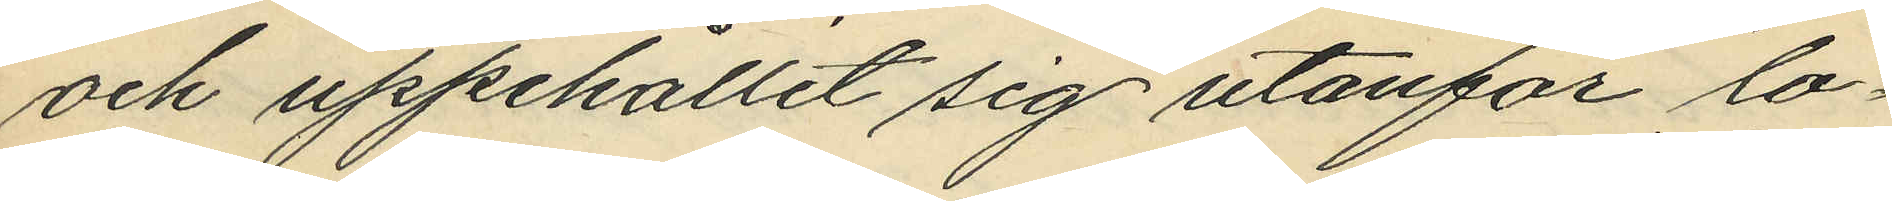och uppehållit sig utanför lo¬
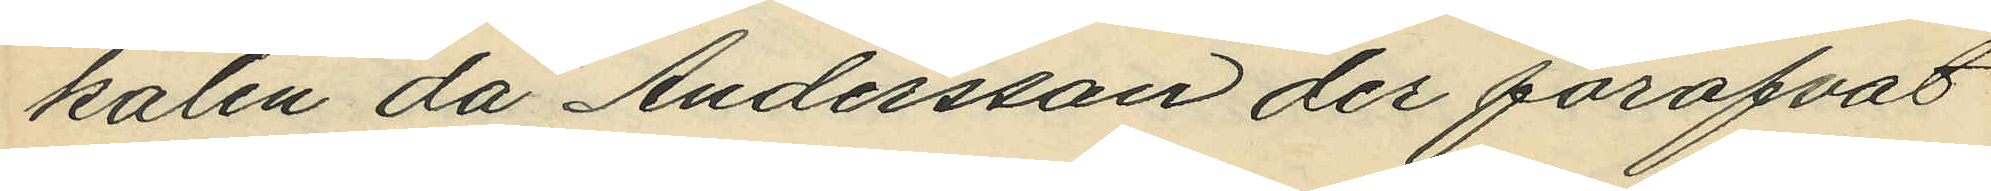kalen då Andersson der föröfvat
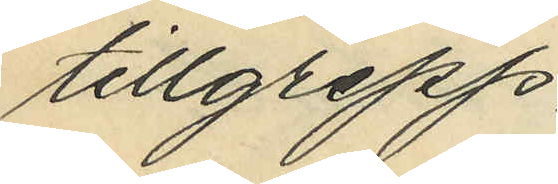tillgrepp.
